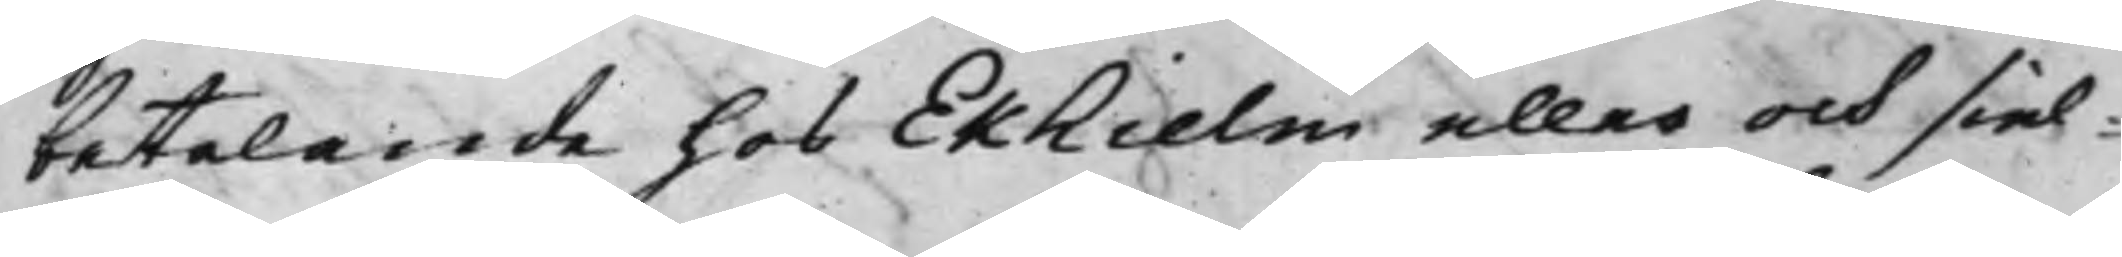betalande hos Ekhielm eller och siel¬
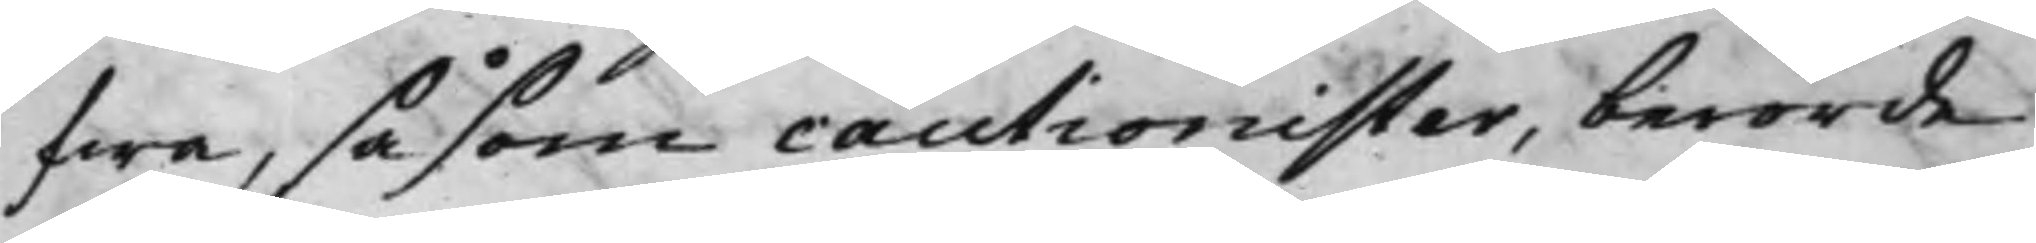fwa, såsom cautionister, berörde
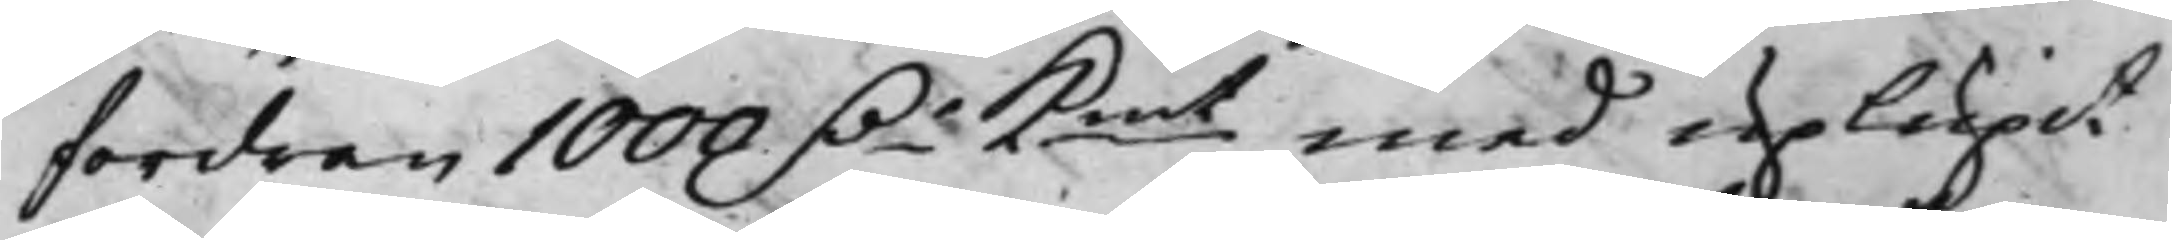fordran 1000 D.r Kmt med uplupit
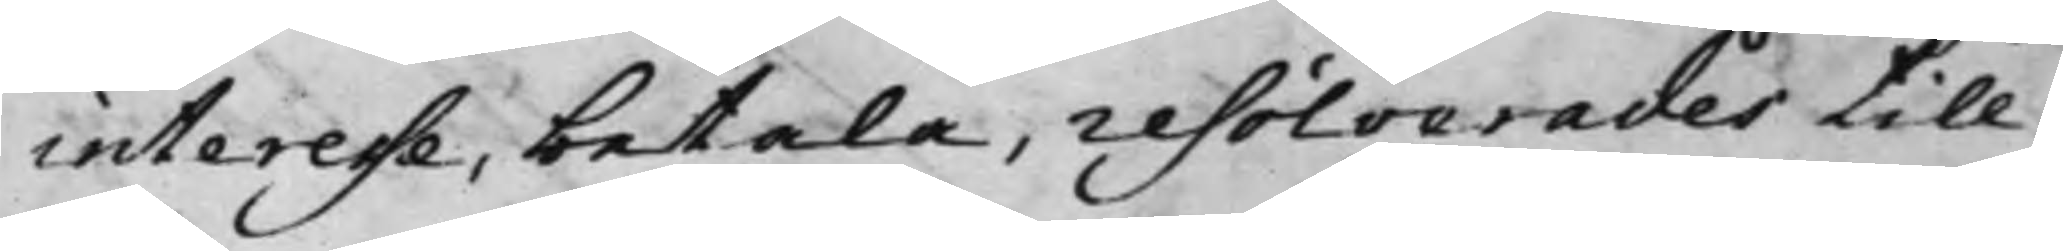interesse, betala, resolverades till
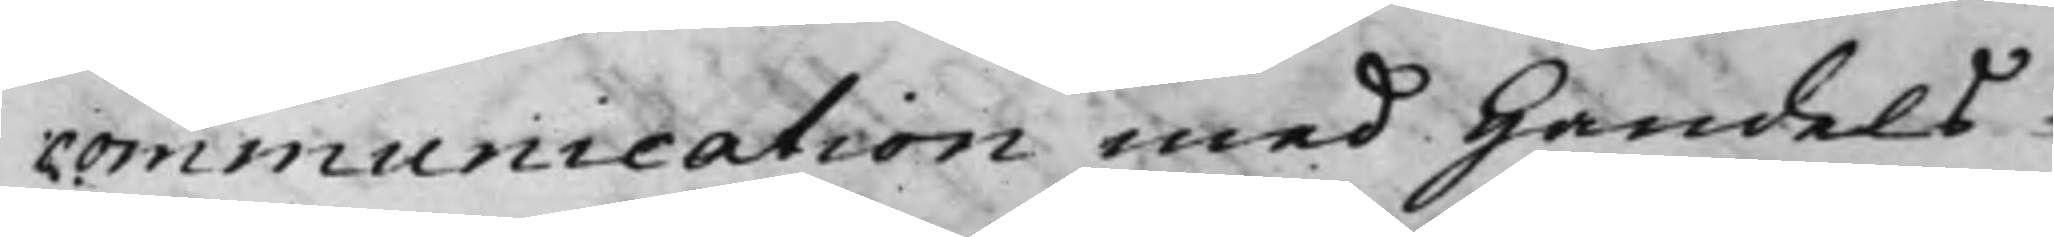communication med Handels¬
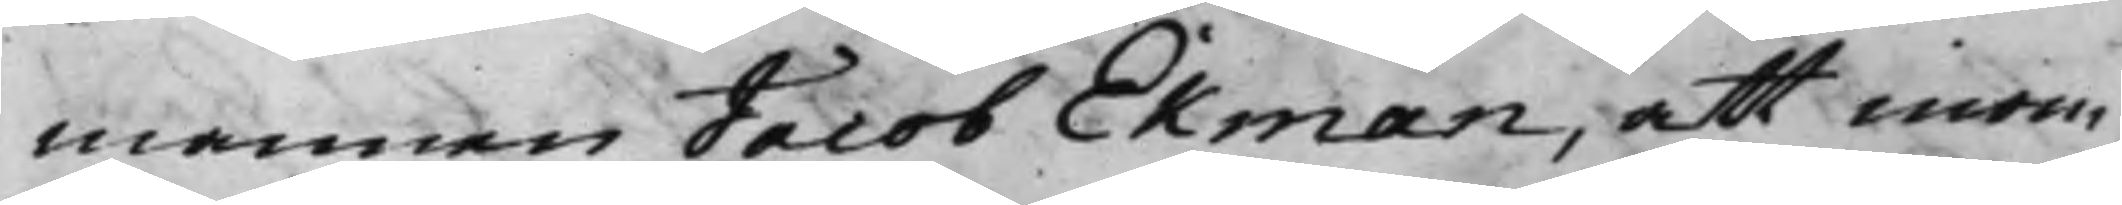mannen Jacob Ekman, att inom
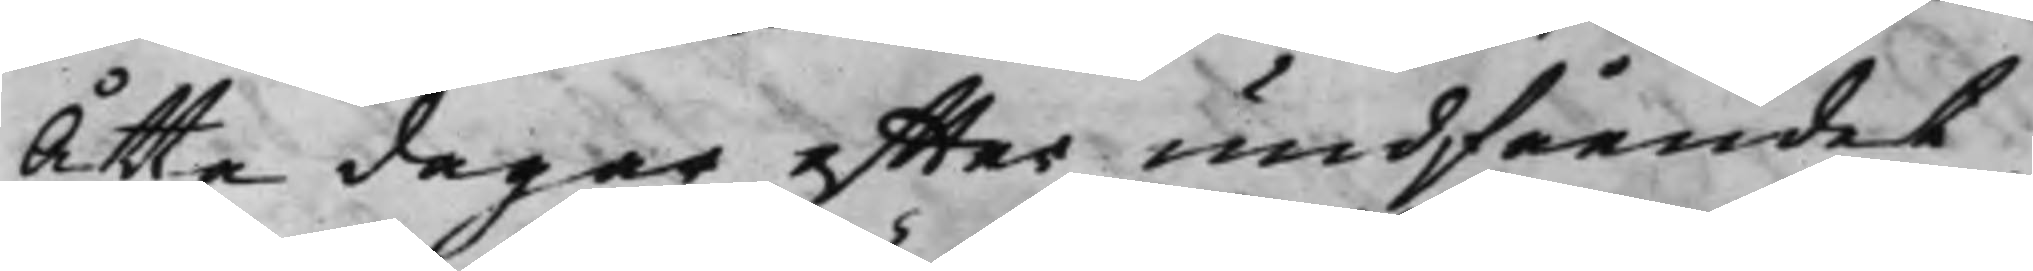Åtta dagar effter undfåendet.
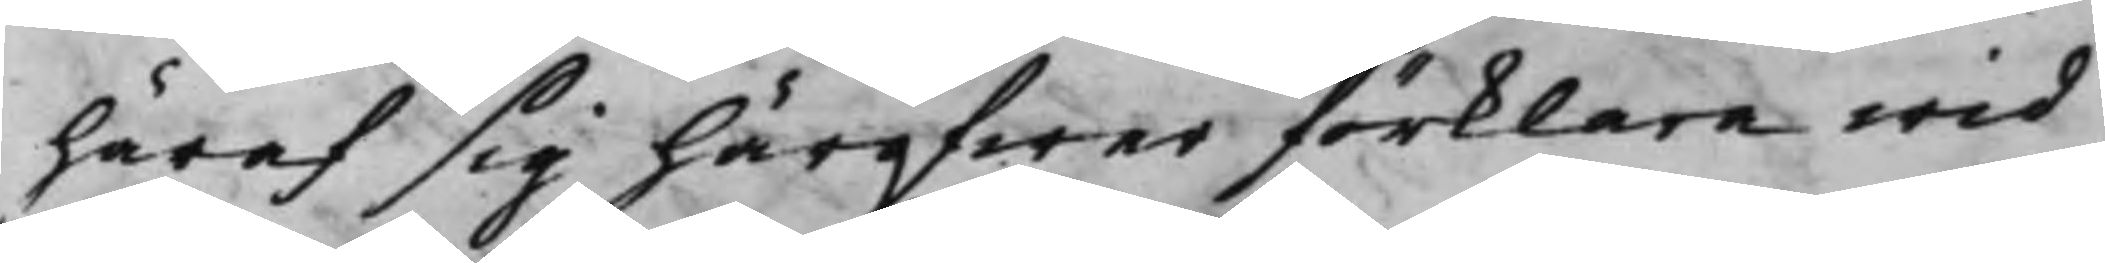häraf sig häröfwer förklara wid
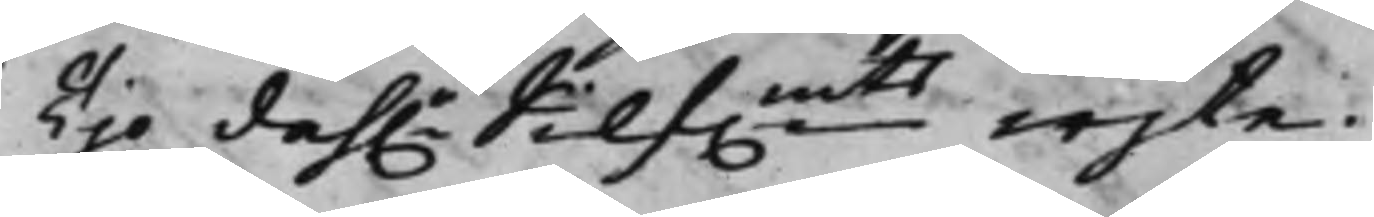Tijo dah.r Silf.mts wijte.
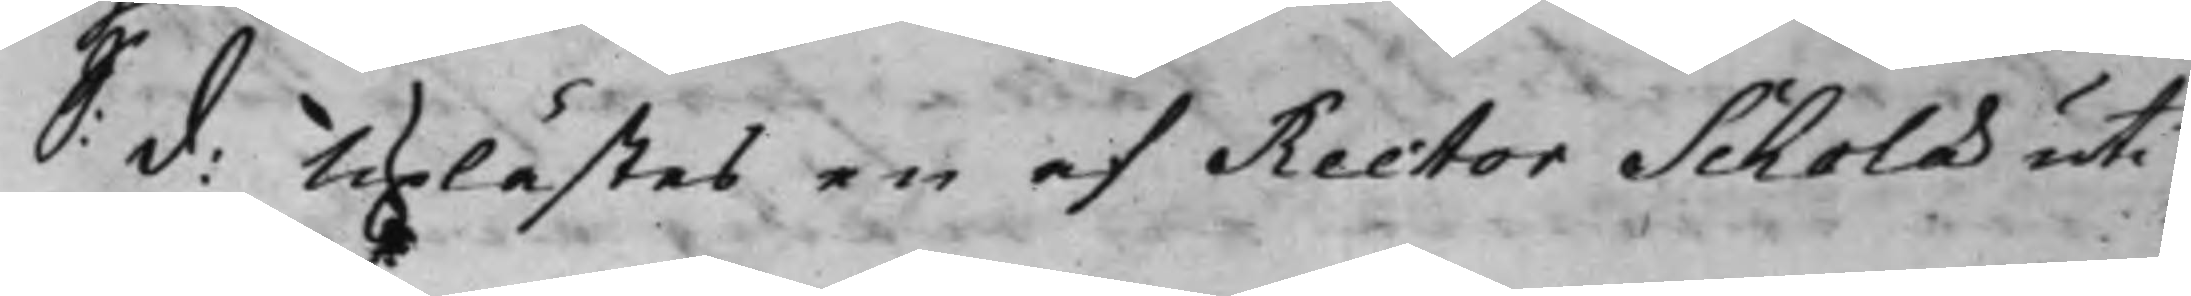S: d: Uplästes en af Rector Scholæ uti
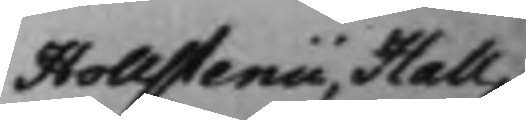Hollstenii Hall¬
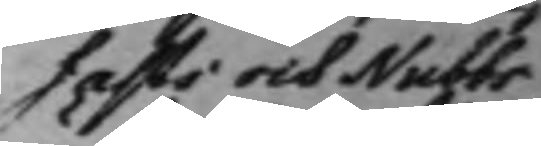fasti och Nubbs
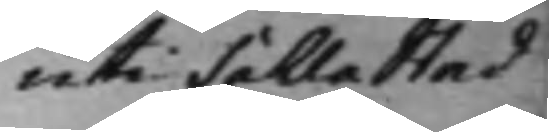uti Sahla stad
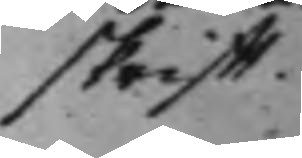skrifft.
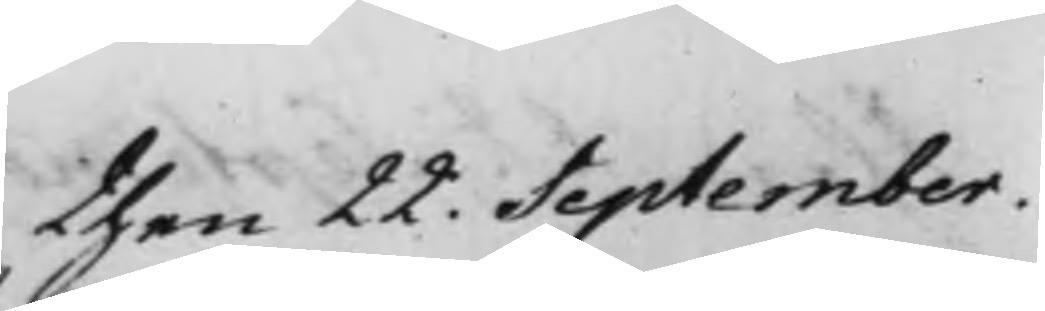then 22. September
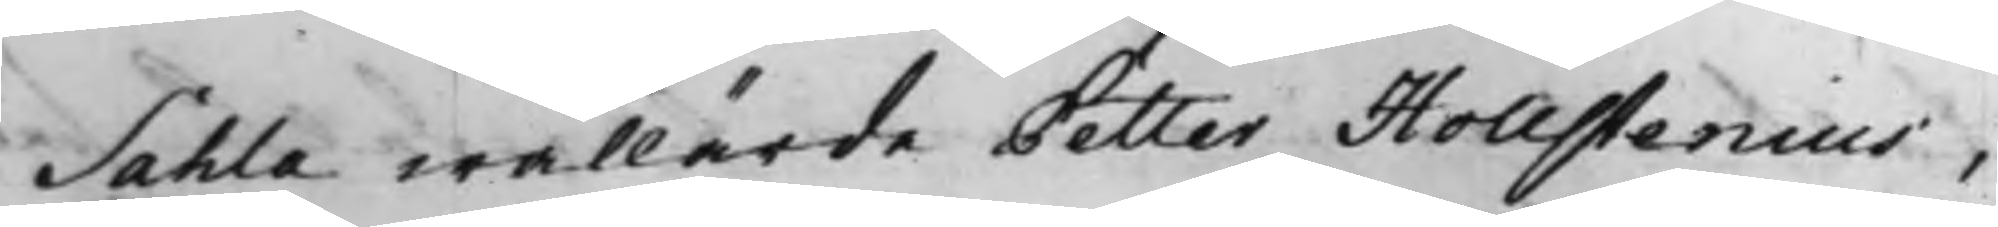Sahla wällärde Petter Hollstenius,
